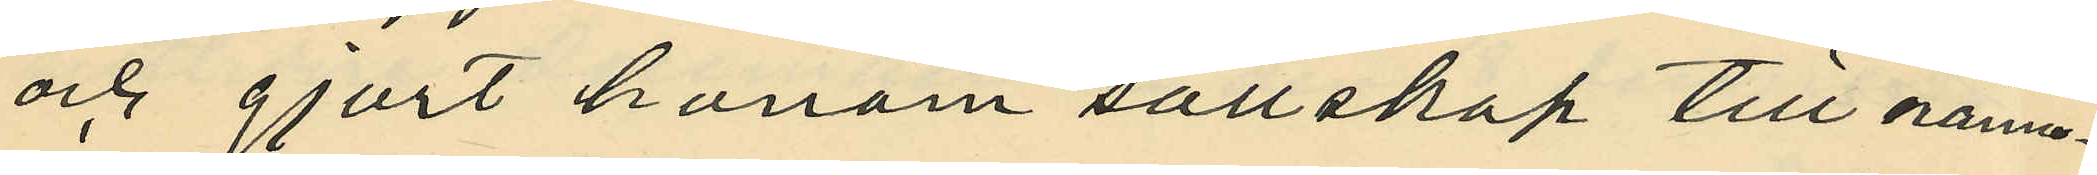och gjort honom sällskap till nämn¬
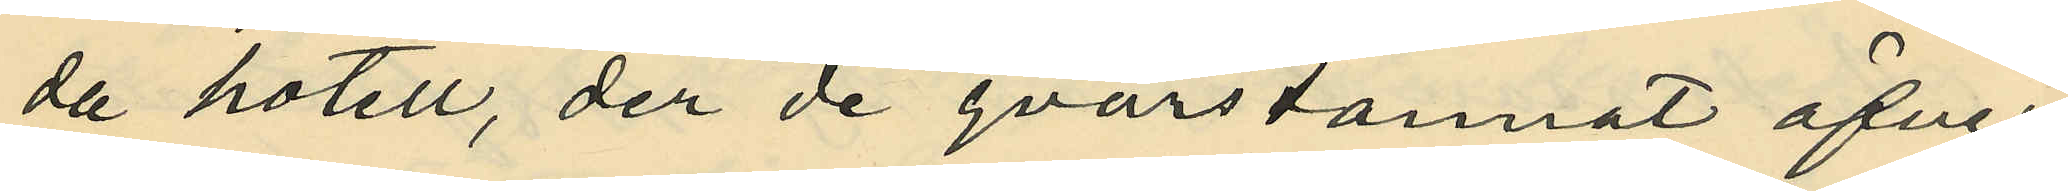da hotell, der de qvarstannat öfver
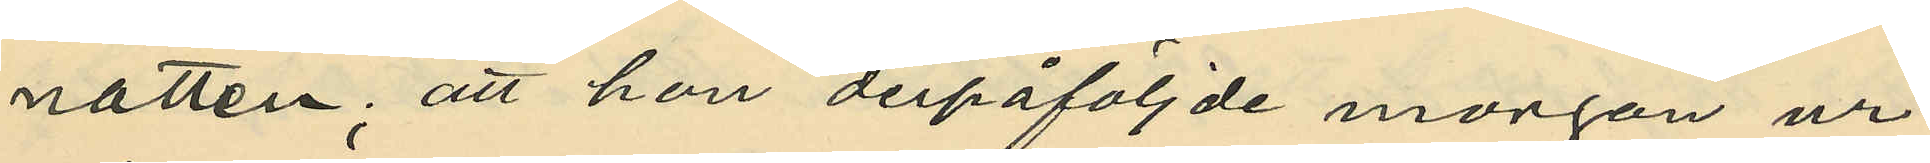natten; att hon derpåföljde morgon ur
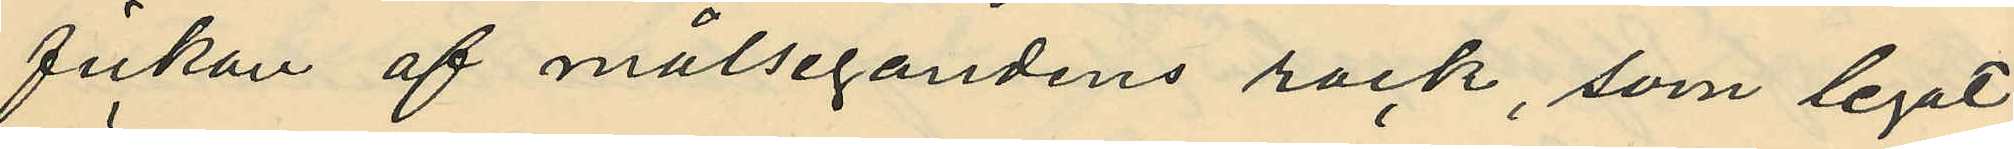fickan af målsegandens rock, som legat
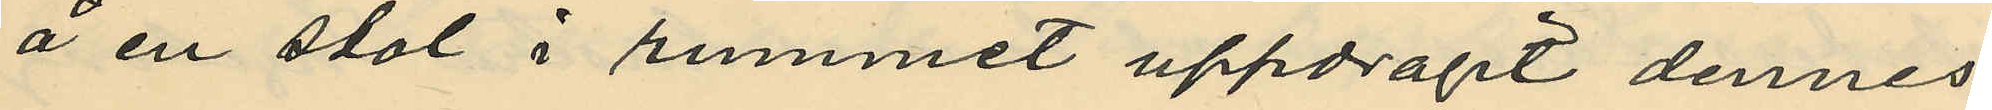å en stol i rummet uppdragit dennes
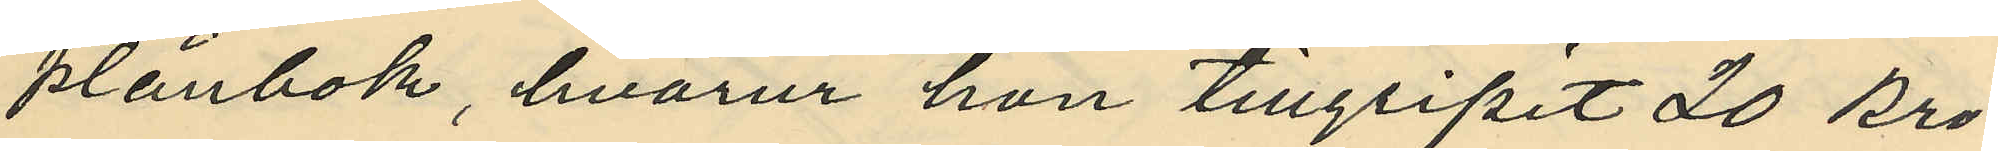plånbok, hvarur hon tillgripit 20 kro¬
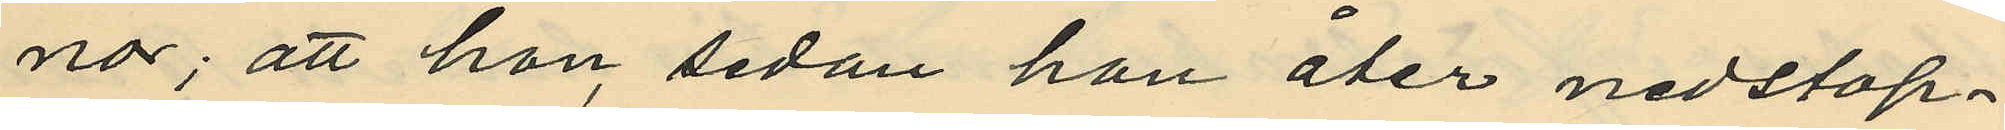nor; att hon sedan hon åter nedstop¬
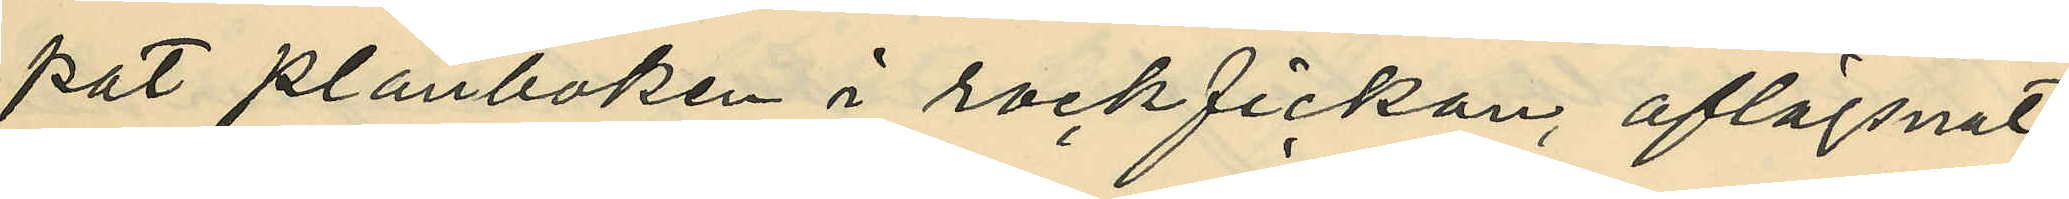pat plånboken i rockfickan, aflägsnat
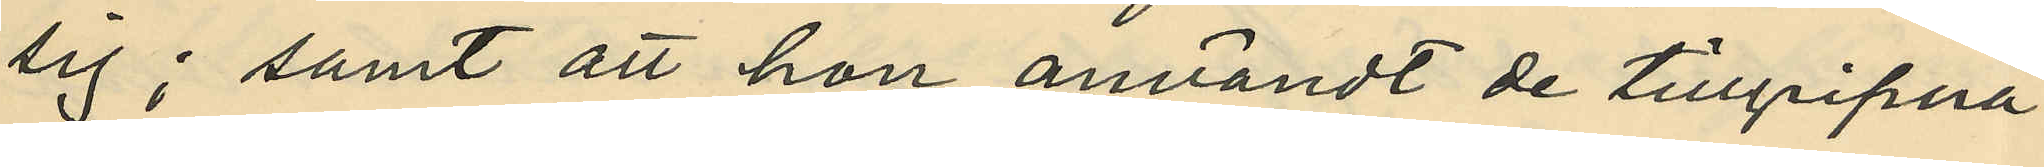sig; samt att hon användt de tillgripna
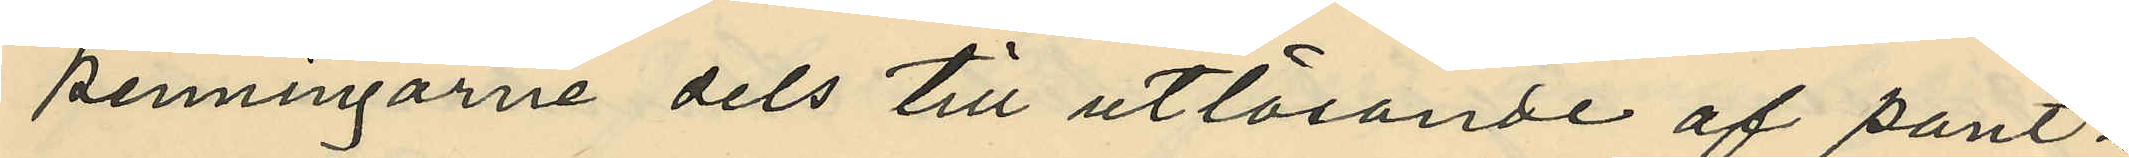penningarne dels till utlösande af pant¬
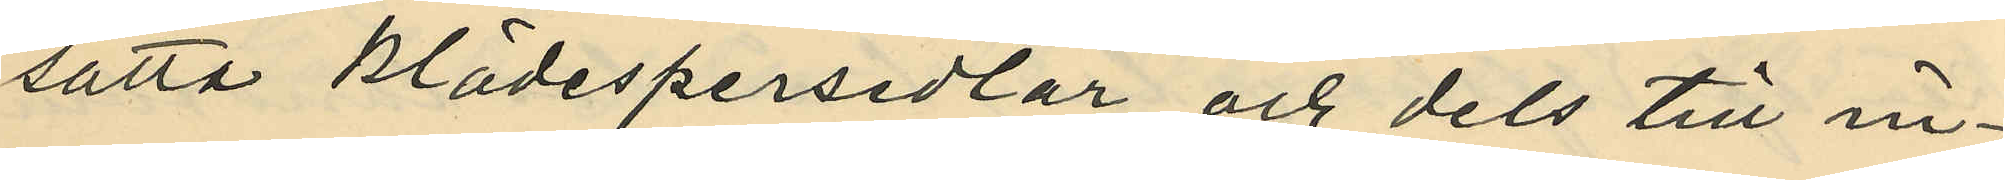satta klädespersedlar och dels till in¬
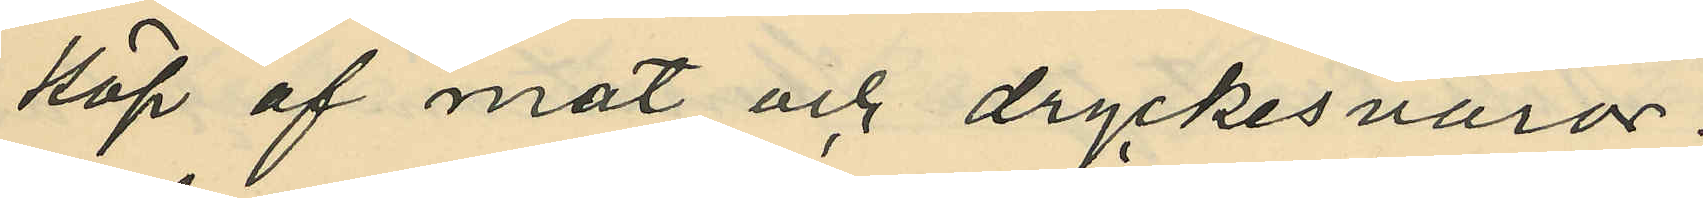köp af mat och dryckesvaror.
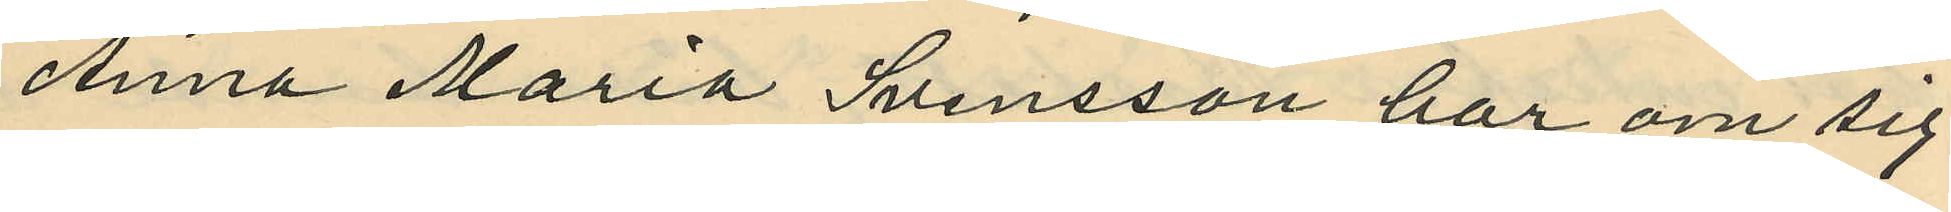Anna Maria Svensson har om sig
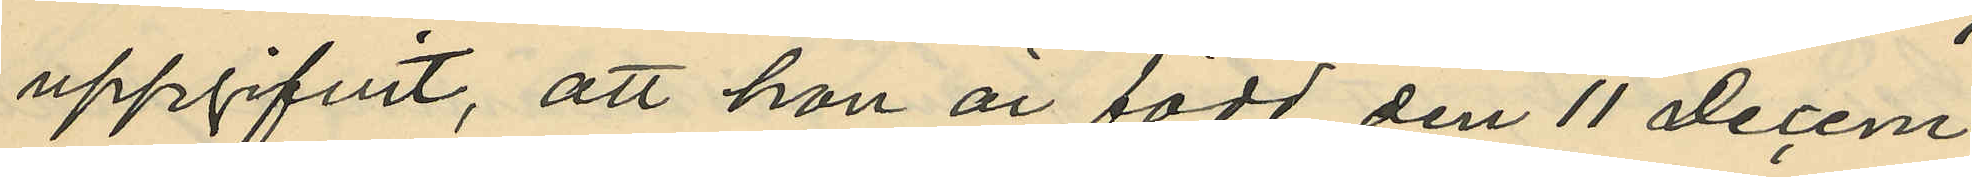uppgifvit, att hon är född den 11 Decem¬
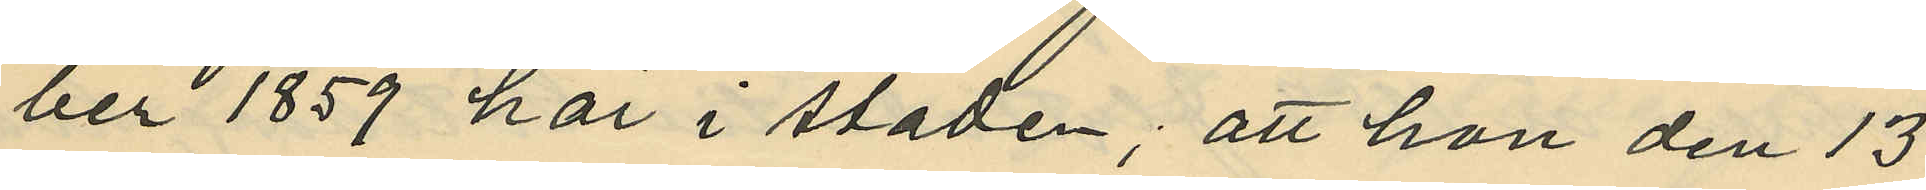ber 1859 här i staden; att hon den 13
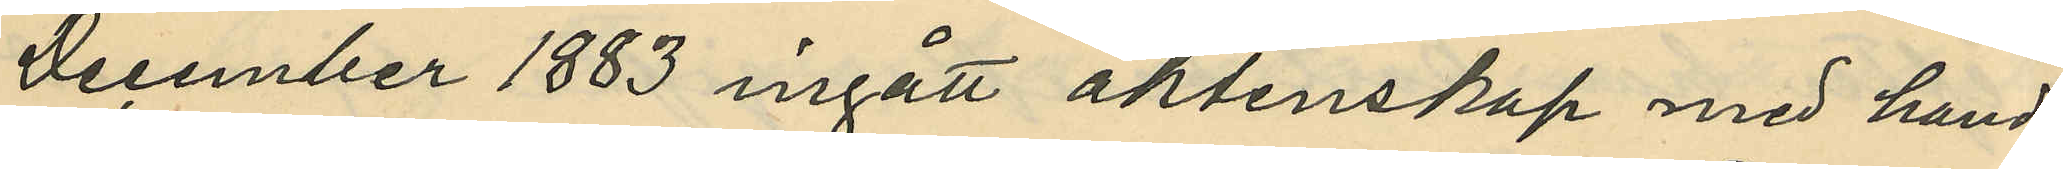December 1883 ingått äktenskap med hand¬
